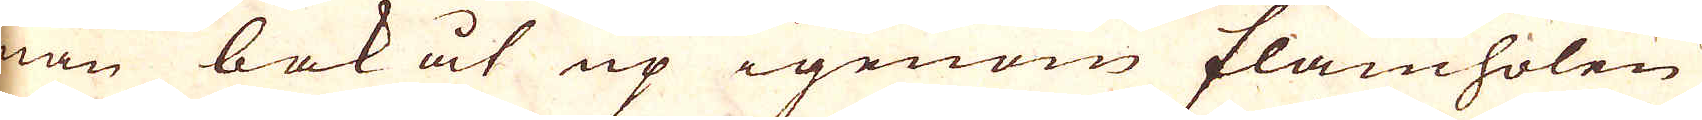man bakåt up igenom flamholen
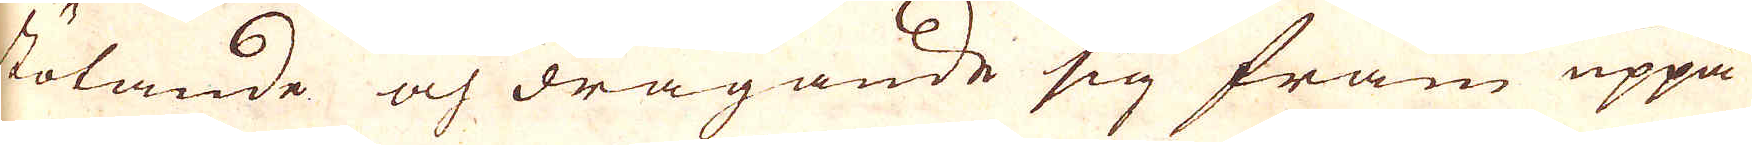stölande och dragande sig fram uppå
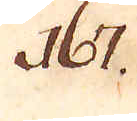167.
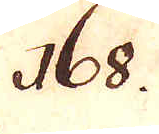168.
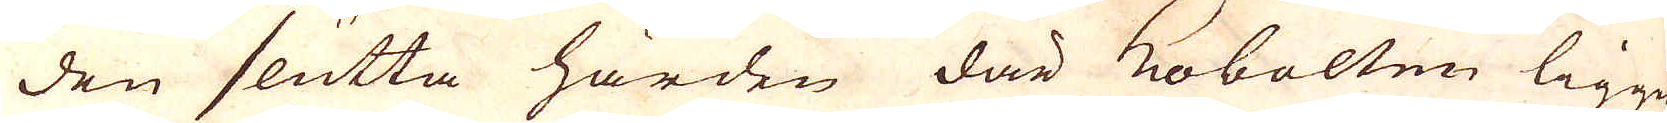den slutta härden där Kobolten ligger
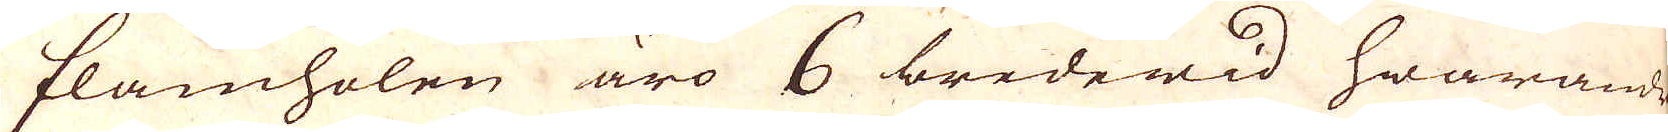flamholen äro 6 bredewid hwarandr
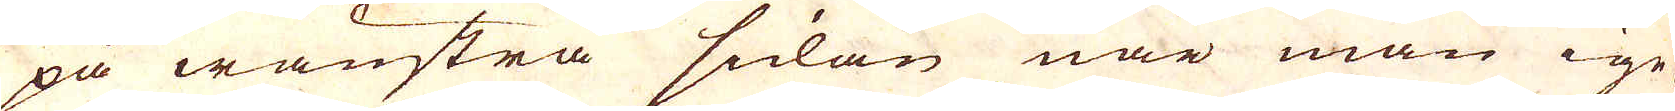på wänstra sulan när man ige-
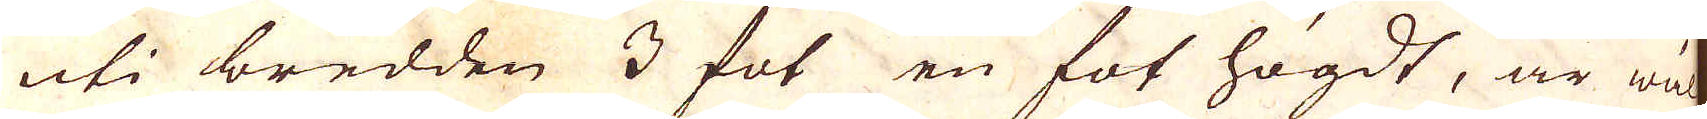uti bredden 3 fot en fot högdt, är wäl
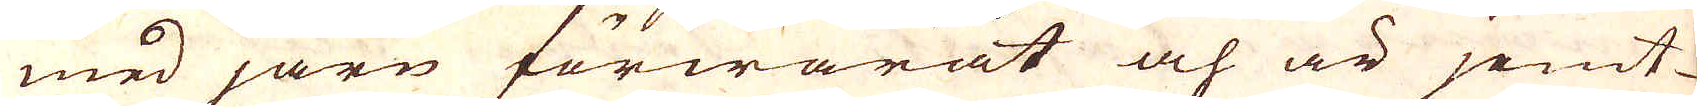med järn förwarat och är jemt-
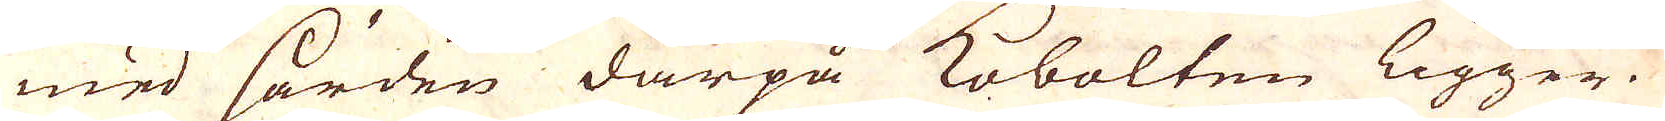med härden därpå Kobolten ligger.
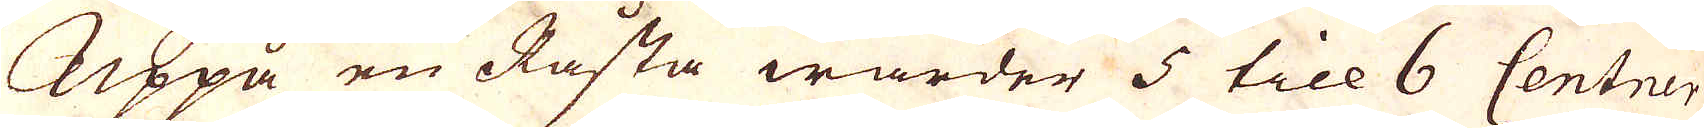Uppå en Råsta warder 5 till 6 Centrer
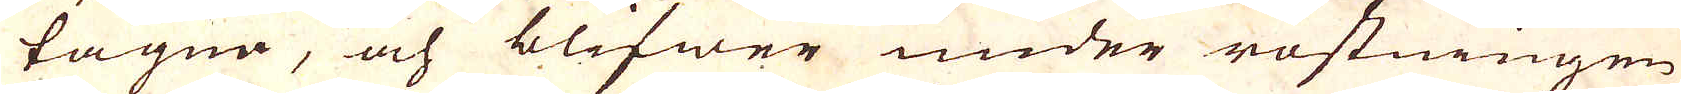tagna, och blifwer under rostningen
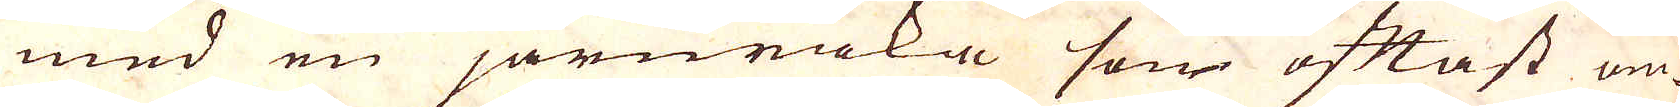med en järnraka som oftast om-
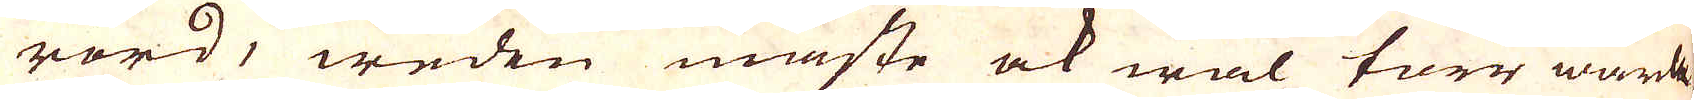rörd, weden måste ock wäl torr warda.
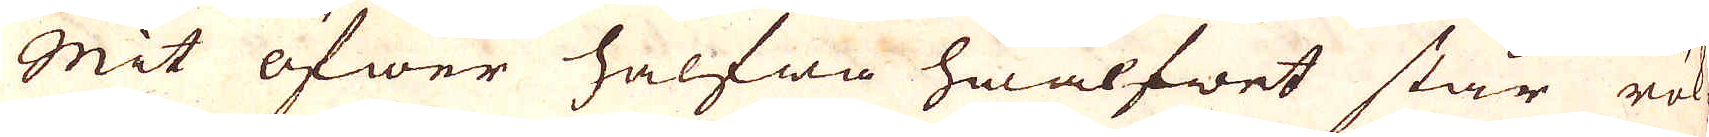Mit öfwer halfwa hwalfwet står rök-
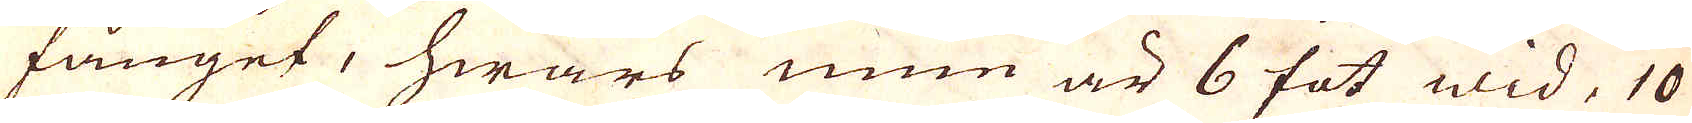fånget, hwars mun är 6 fot wid, 10
